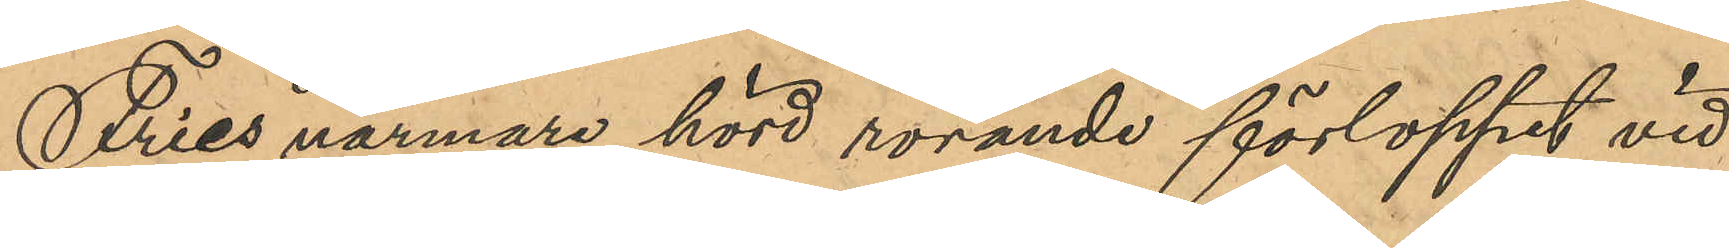Fries närmare hörd rörande förloppet vid
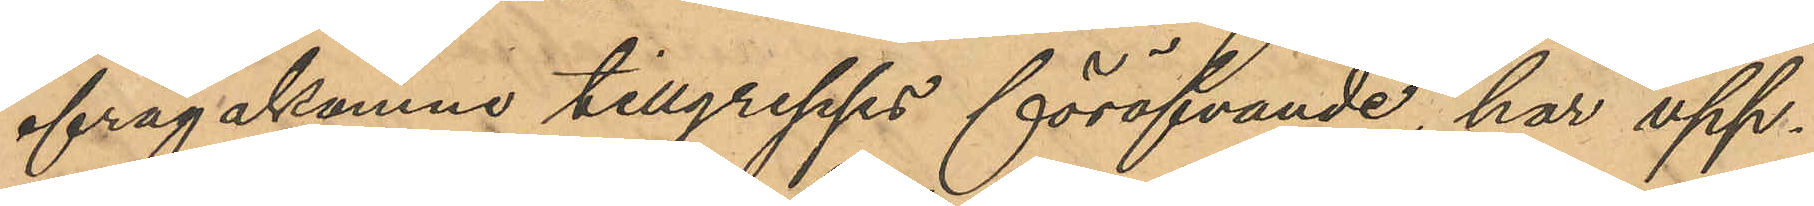ifrågakomne tillgrepps föröfvande, har upp¬
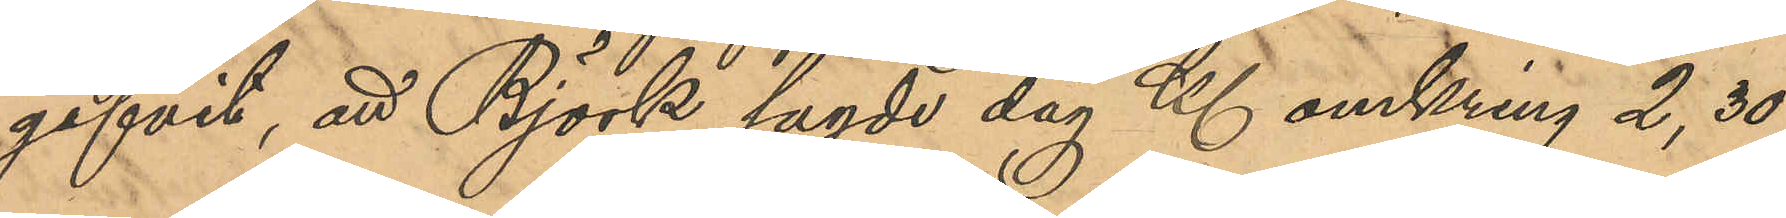gifvit, att Björk sagde dag Kl omrking 2,30
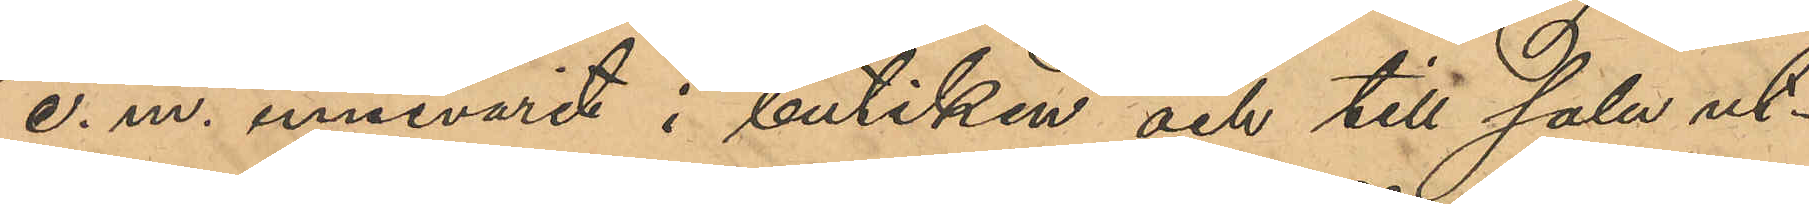e. m. innevarit i butiken och till salu ut¬
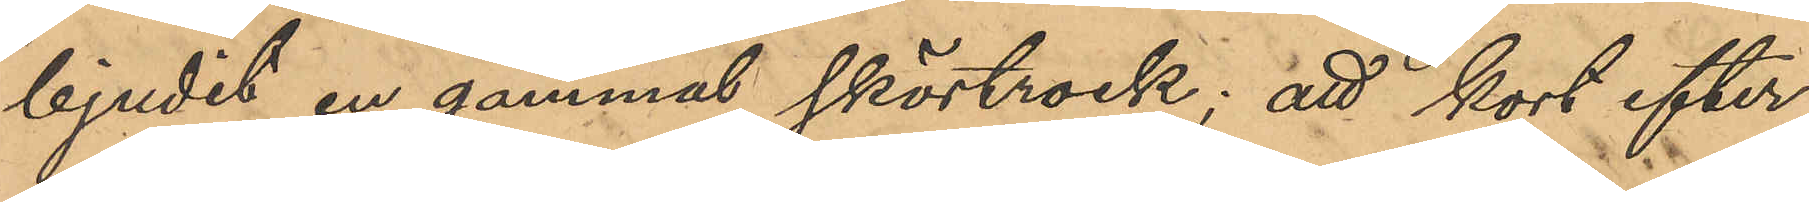bjudit en gammal skörtrock; att kort efter
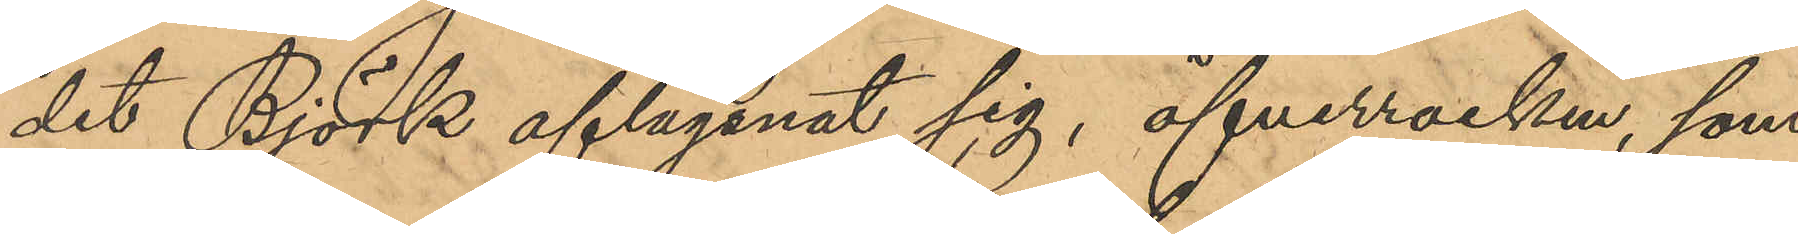det Björk aflägsnat sig, öfverrocken, som
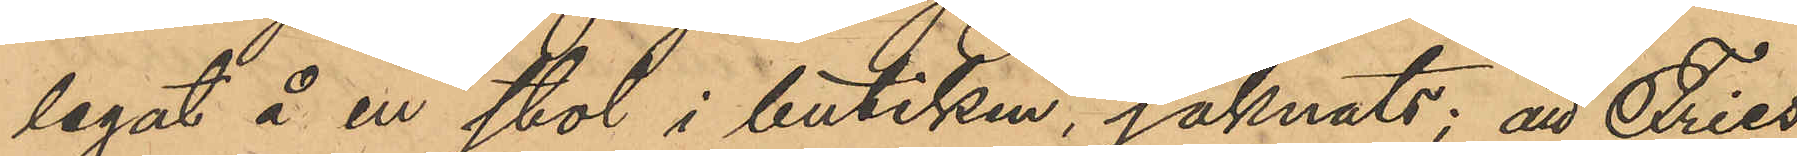legat å en stol i butiken, saknats; att Fries
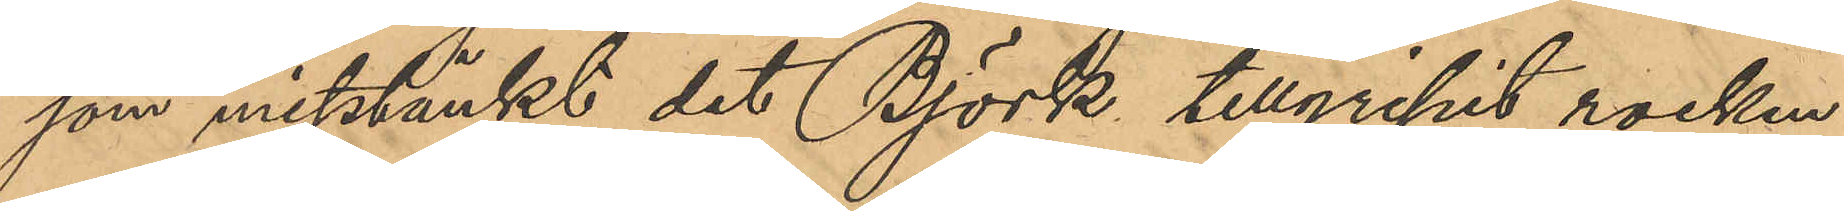som misstänkt det Björk tillgripit rocken
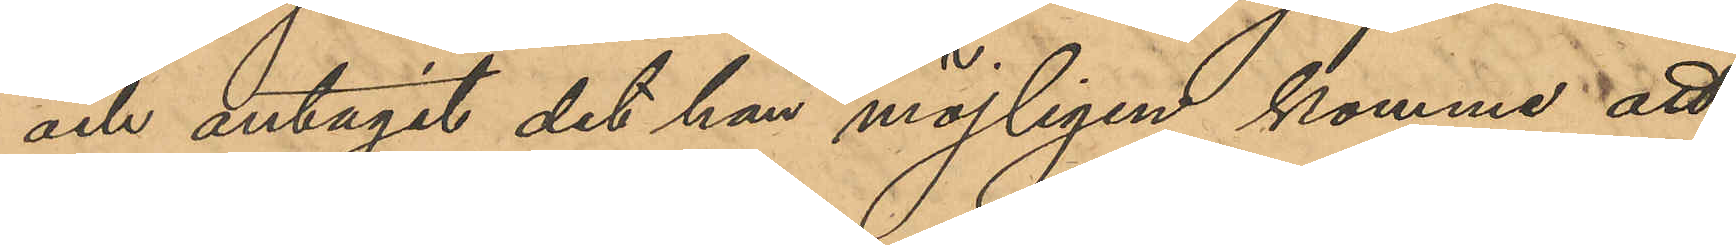och antagit det han möjligen komme att
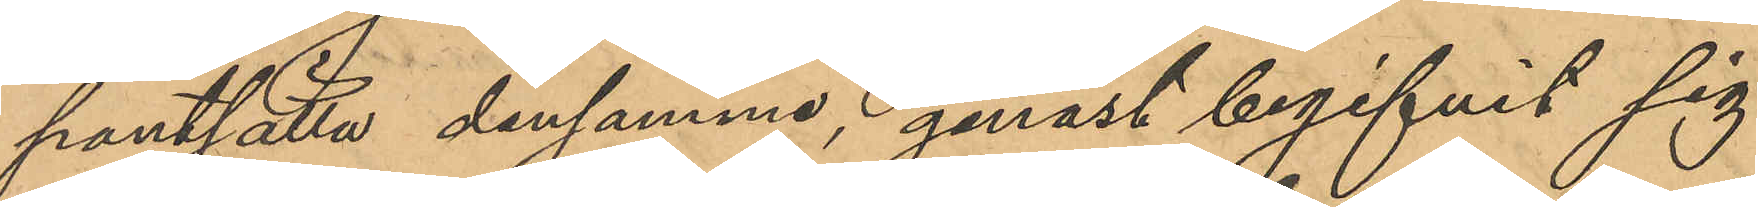pantsätta densamme, genast begifvit sig
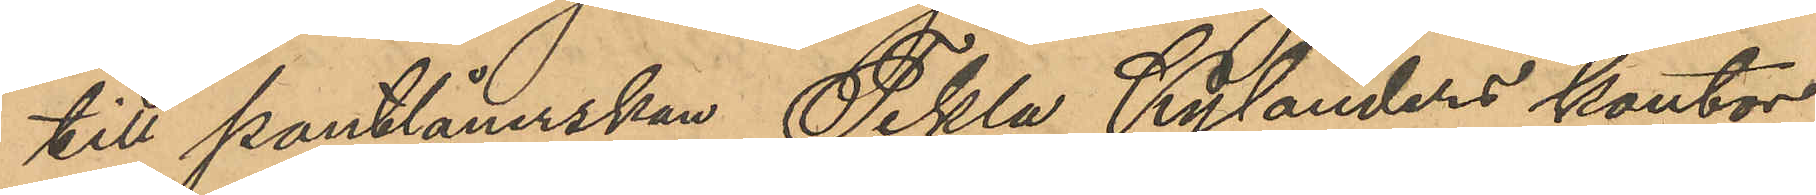till pantlånerskan Tekla Kylanders kontor
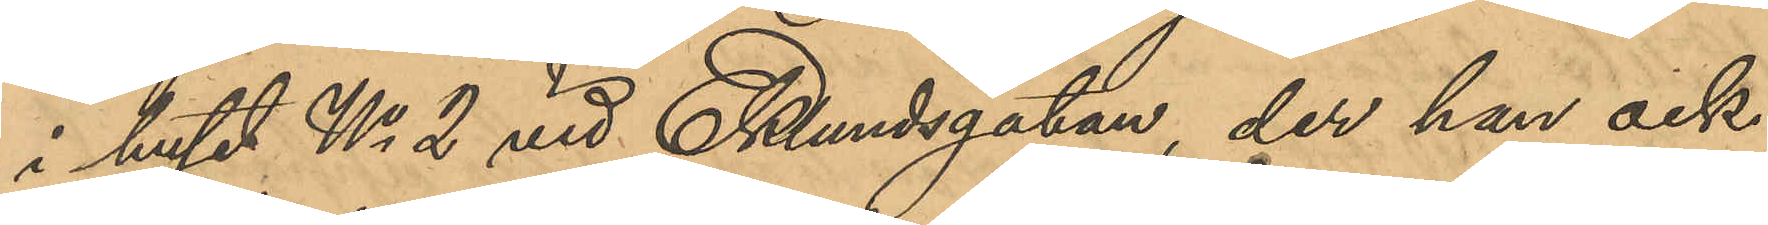i huset No 2 vid Eklundsgatan, der han ock
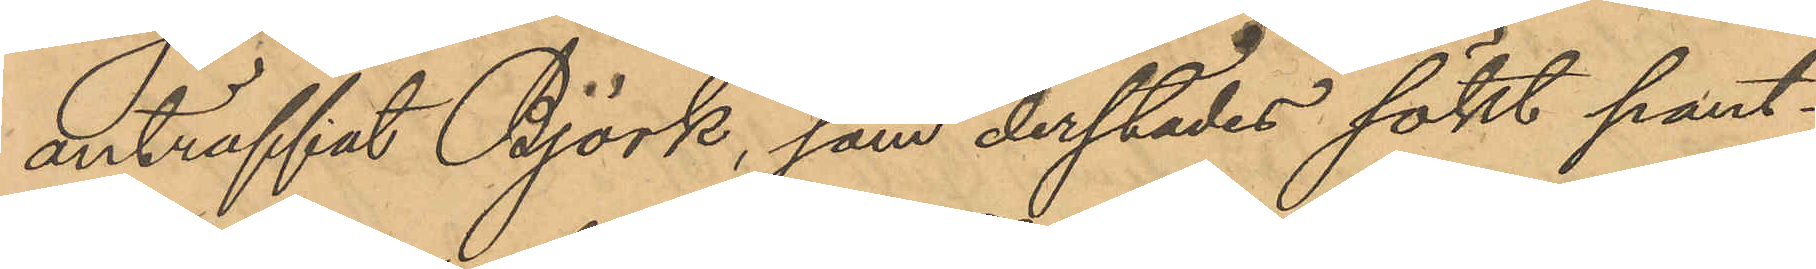anträffat Björk, som derstädes sökt pant¬
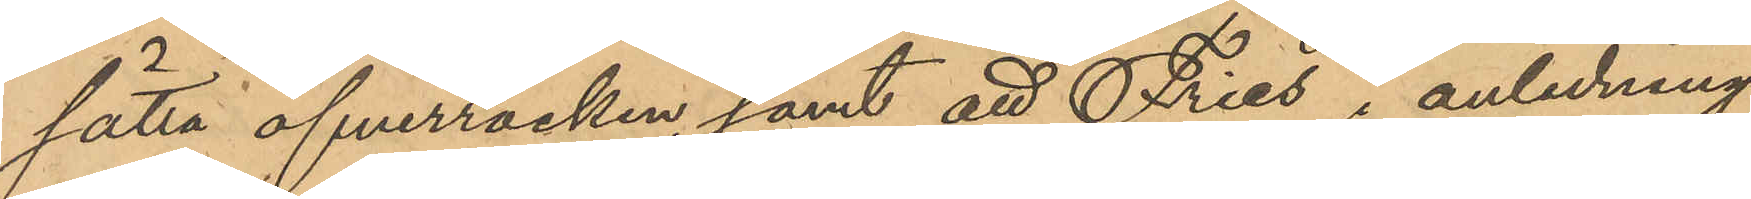sätta öfverrocken, samt att Fries i anledning
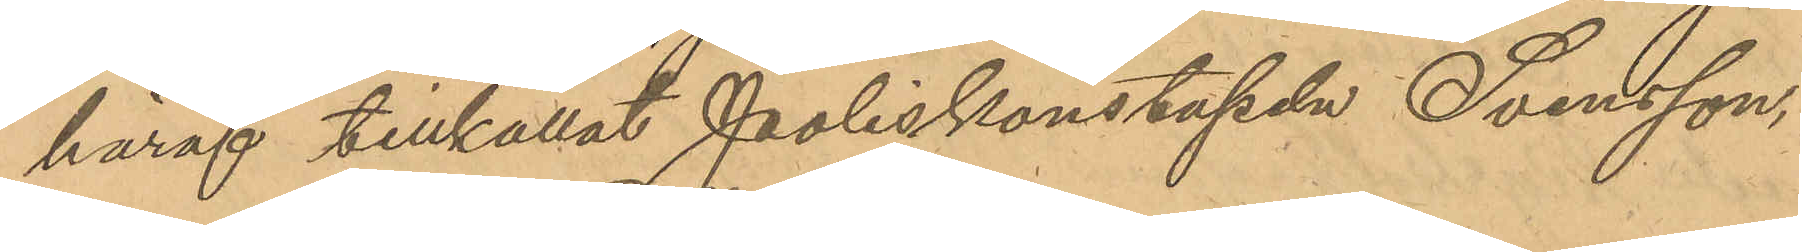häraf tillkallat Poliskonstapeln Svensson,
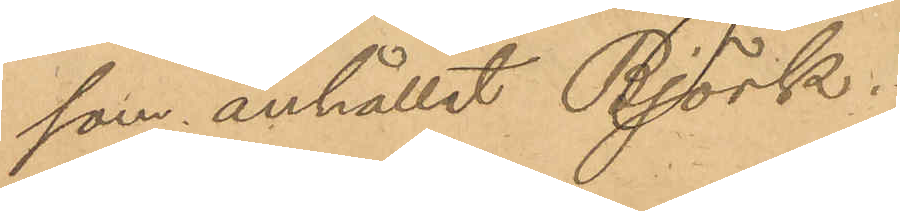som anhållit Björk.
